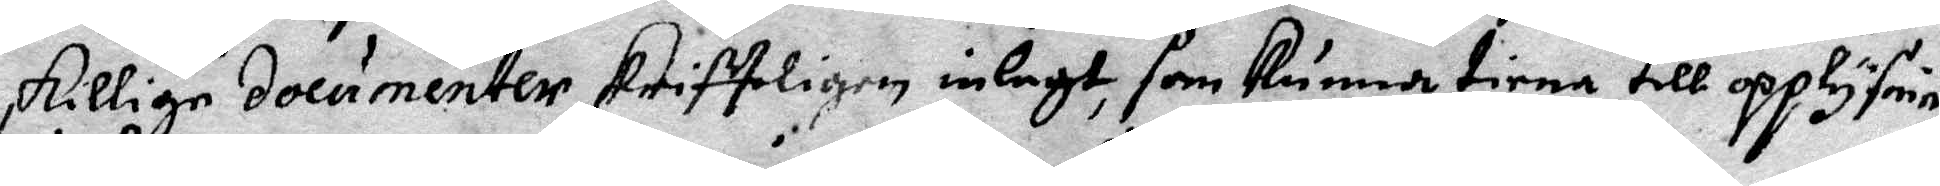skillige documenter skriffeligen inlagt, som kunna tiena till opplysning
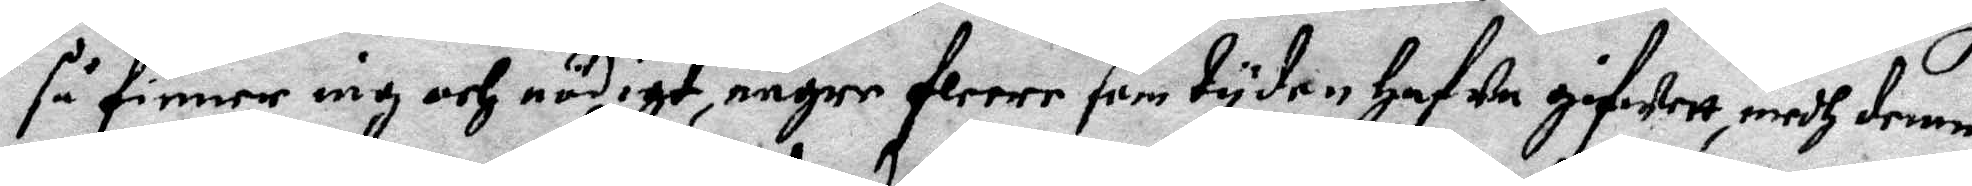så finner iag och nödigt, någre fleere som tyden hafwa gifwett, medh demne
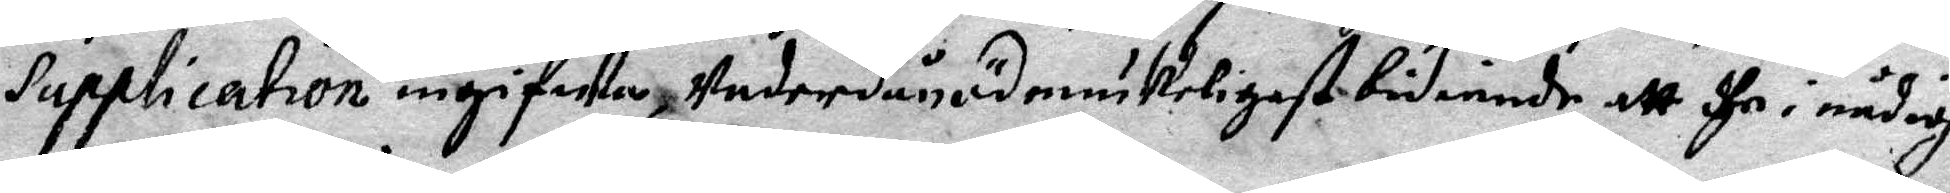Supplication ingifwa, Underdånödmiukeligest bediande att dhe i nådig
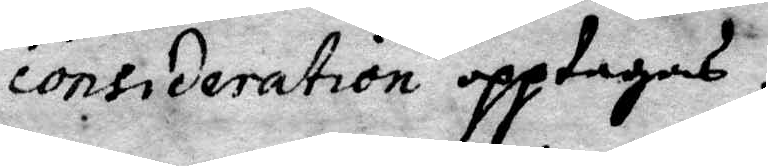Consideration opptagas.
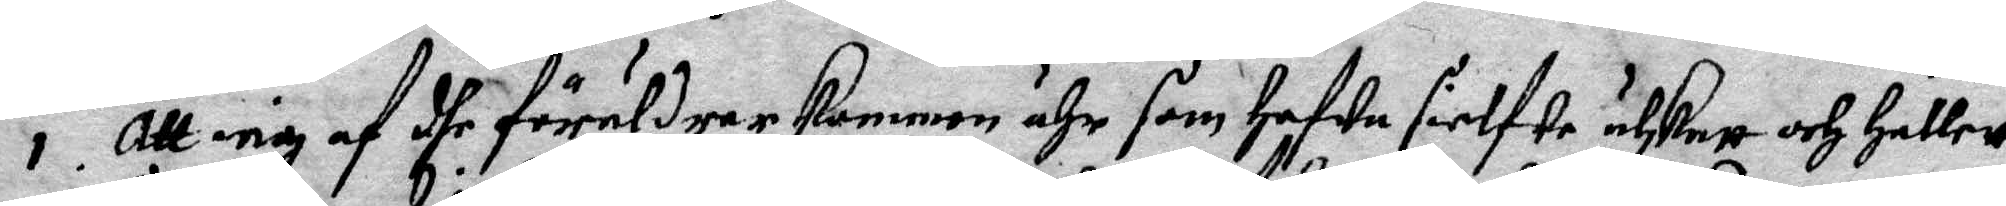1. Att iag af dhe föräldrar kommen ähr som hafwa sielfwe utskatt och hållett
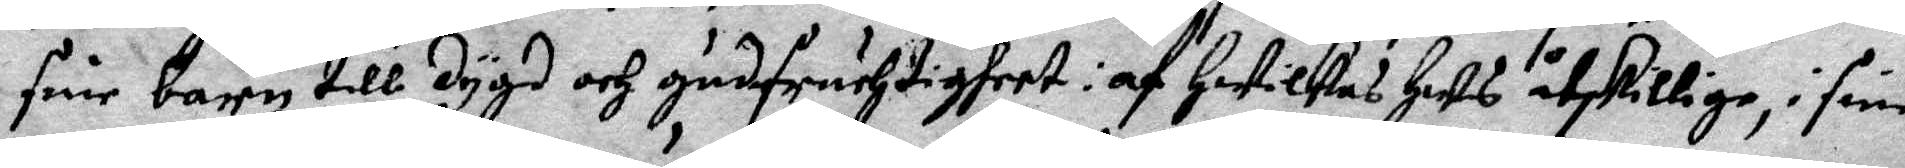sine barn till dygd och gudsfruchtigheet: af Hwilkas hus åtskillige, i sine
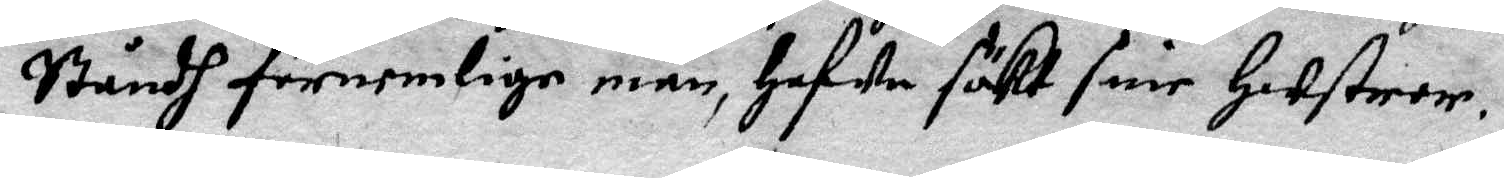Ståndh förnemlige män, hafwa sökt sine Hustror.
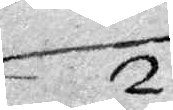2.
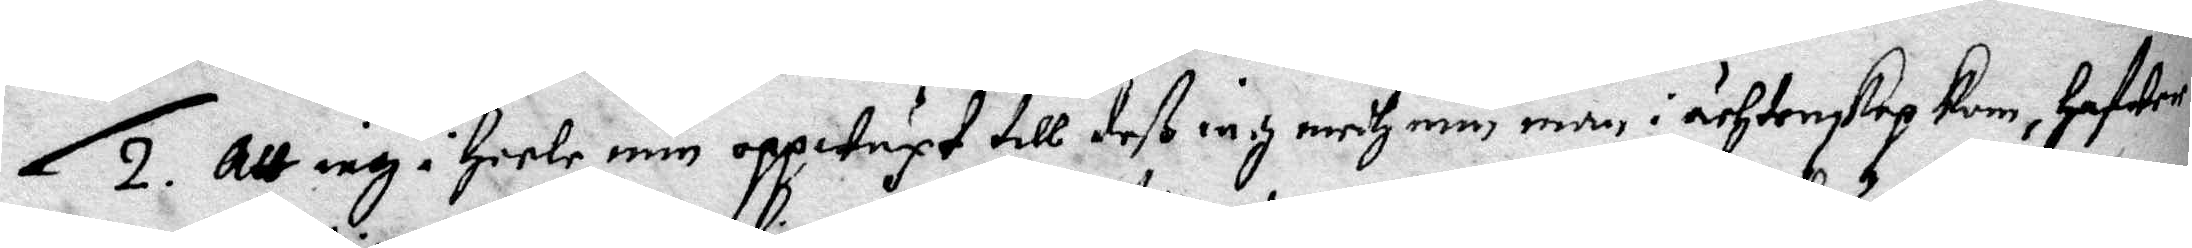2. Att iag i heele mig oppwäxt till deß iag medh min man i ächtenskap kom, hafwer
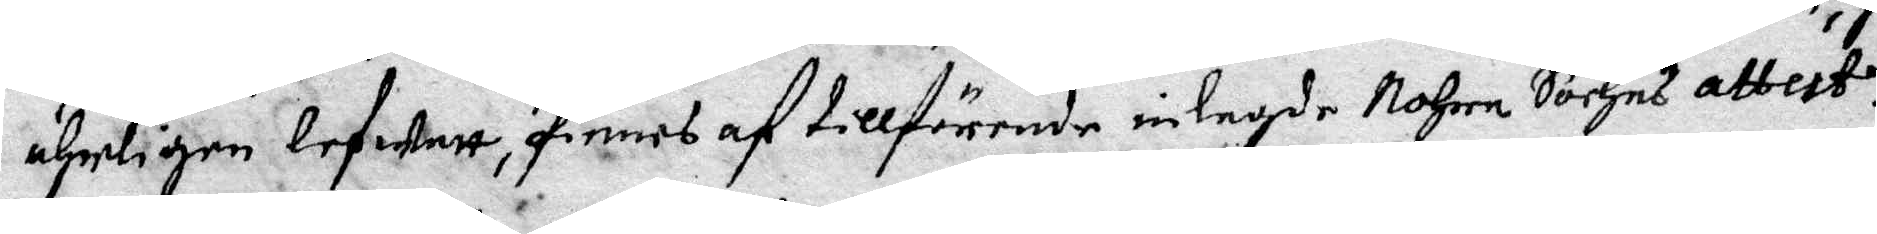ährligen lefwatt, finnes af tillförende inlagde Nohra Sochns attest.
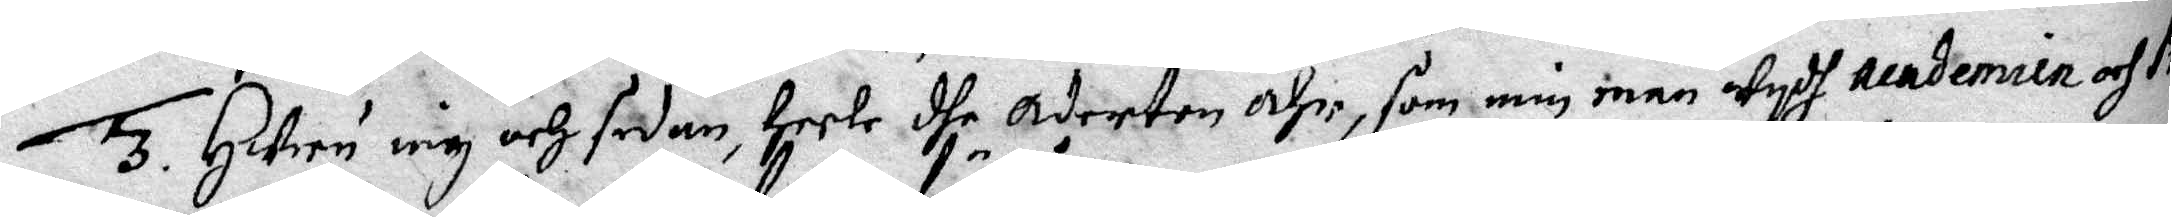3. Huru iag och sedan heela dhe Aderton åhr, som min man wydh academien och Pro¬
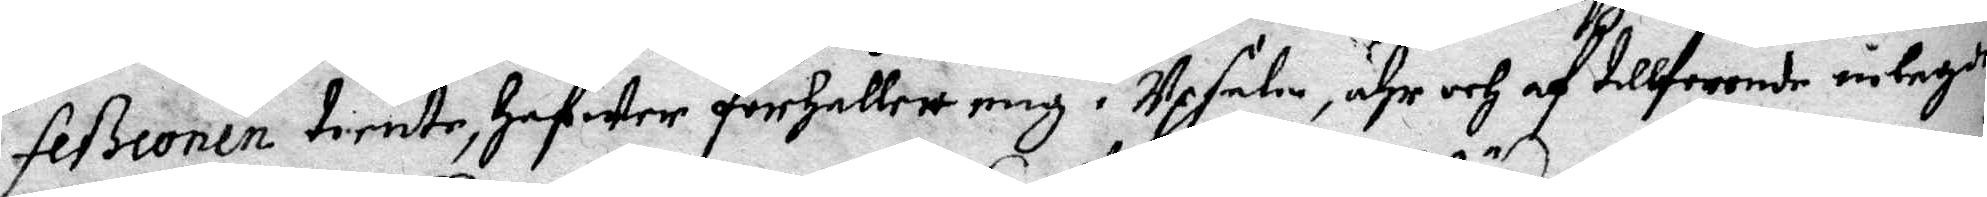feßionen tiente, hafwer förhållett mig i Upsala, ähr och af tillförende inlagde
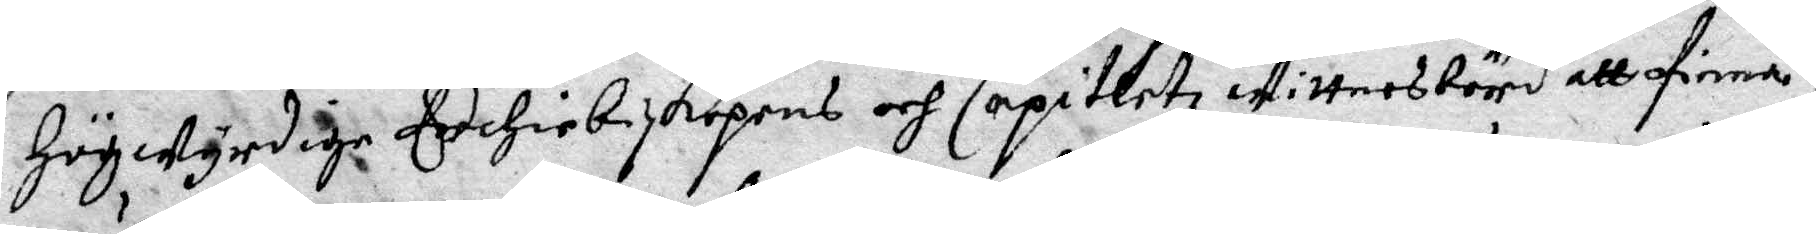Högwyrdige Erchiebiskopens och Capitletz wittnesbörd all finna.
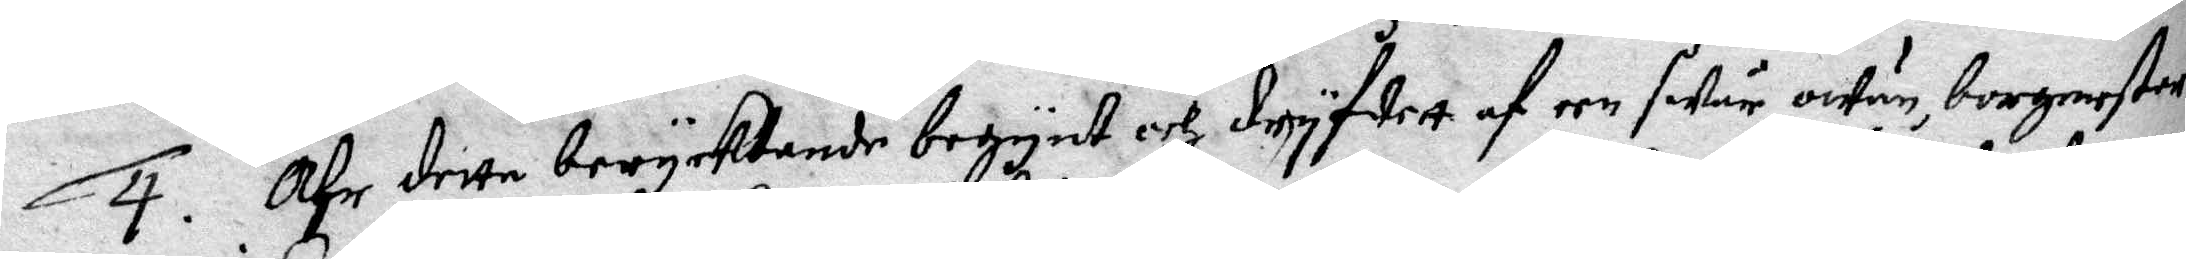4. Ähr detta berycktande begynt och dryfwett af een swår owän, borgmester
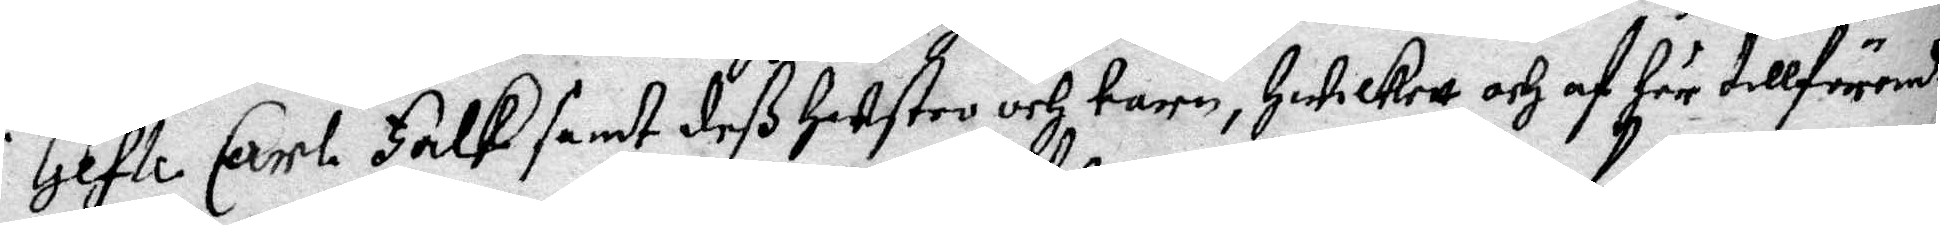i Gefle Carl Falk samt deß hustro och barn, Hwilkett och af här tillförende
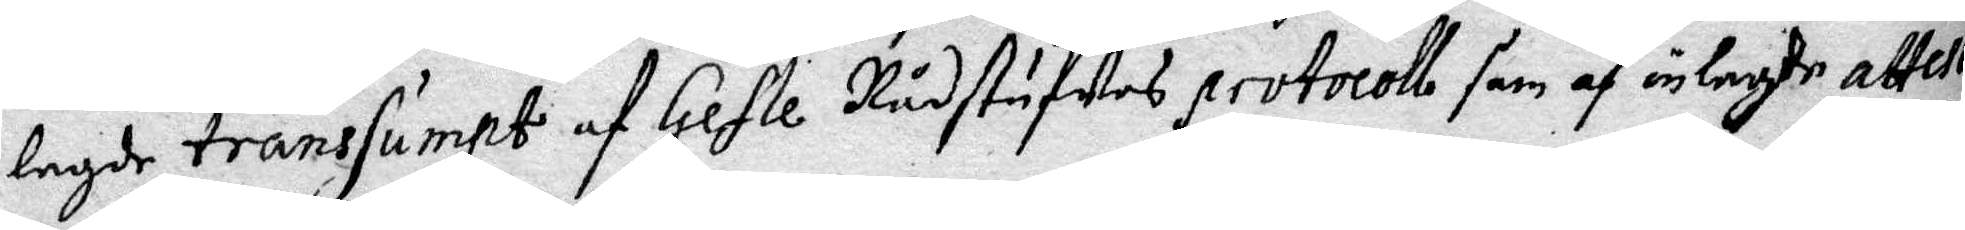lagde transsumpt af Gefle Rådstufwes protocoll som af inlagde attester
